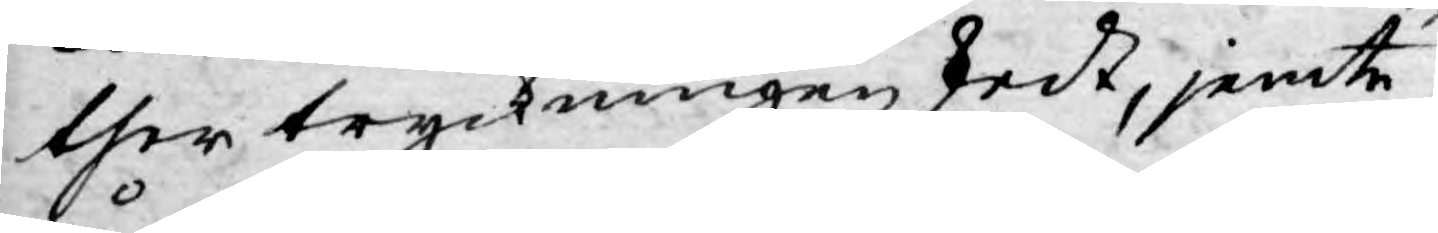ther tryckningen skedt, jemte
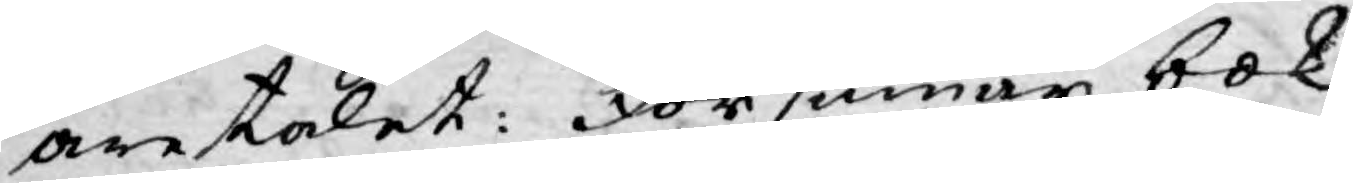åretalet: Försummar bok¬
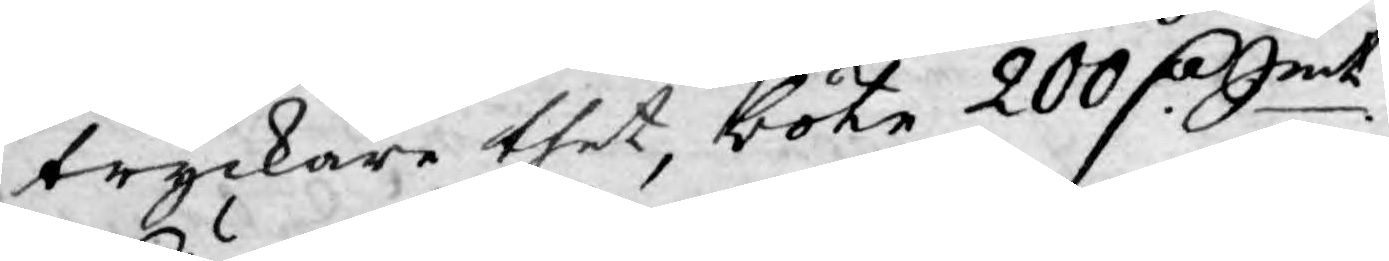tryckare thet, böte 200 D:r Smt.
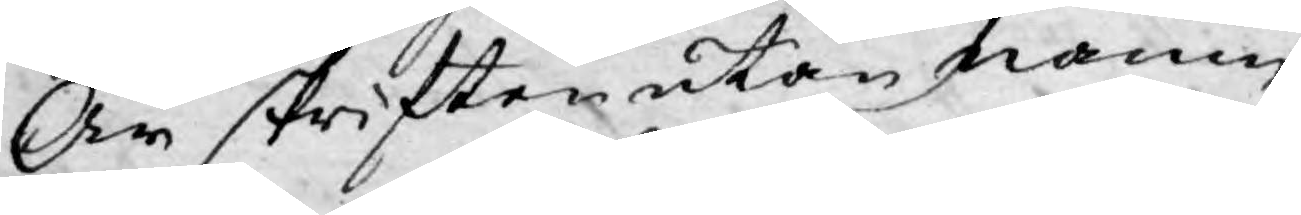Är skriften utan namn,
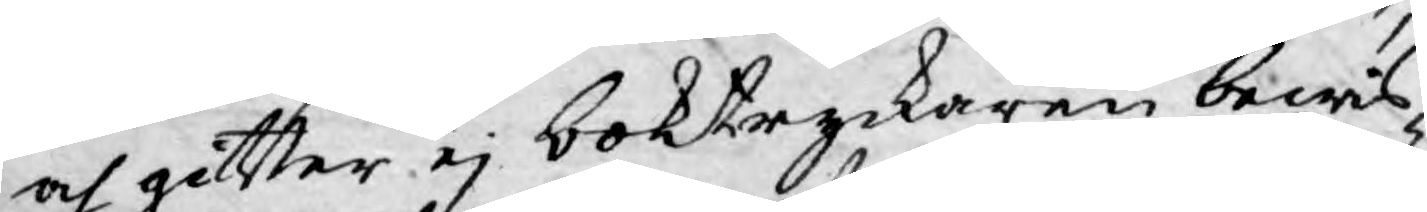och gitter ej boktryckaren bewis¬
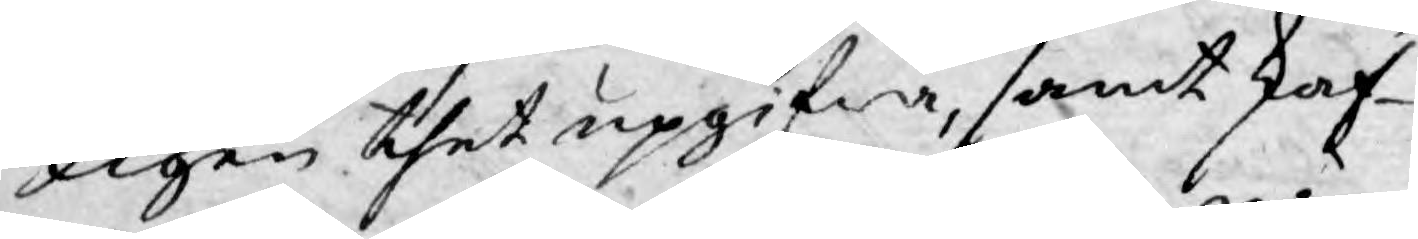ligen thet upgifwa, samt skaf¬
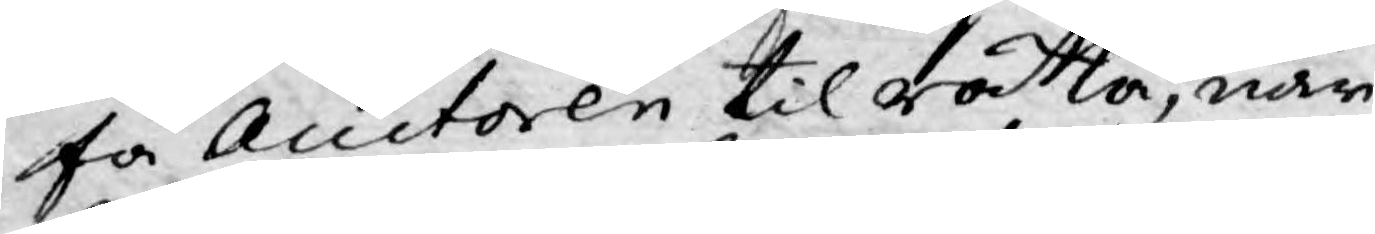fa Auctoren til rätta, när
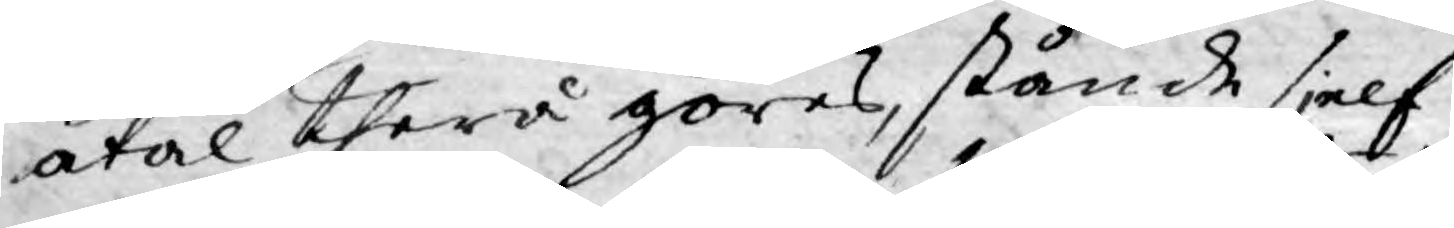åtal therå göras, stånde sjelf
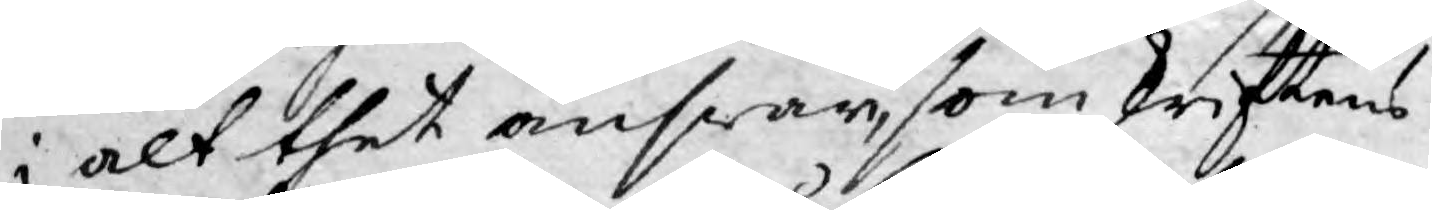i alt thet answar, som skriftens
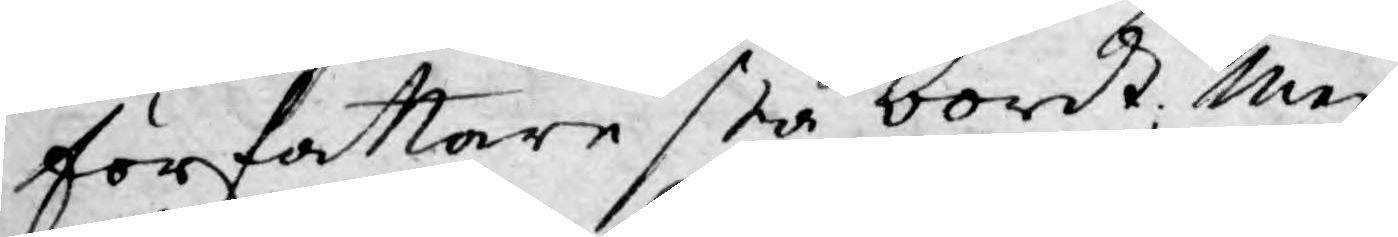författare stå bordt; Men
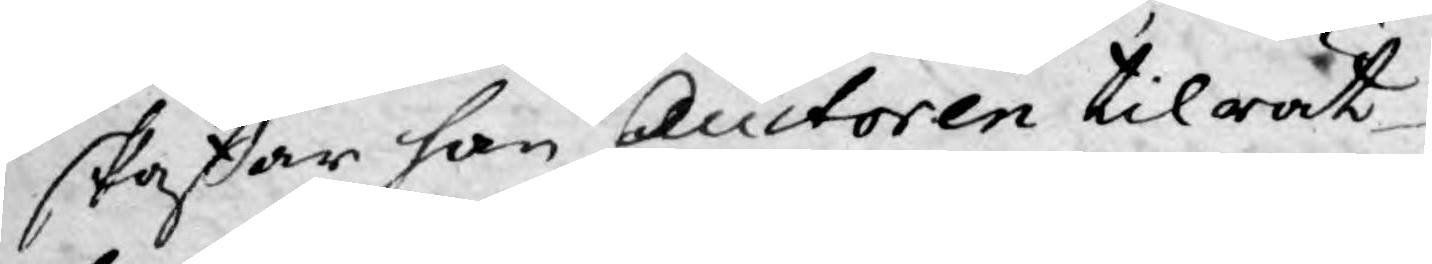skaffar han Auctoren tilrät¬
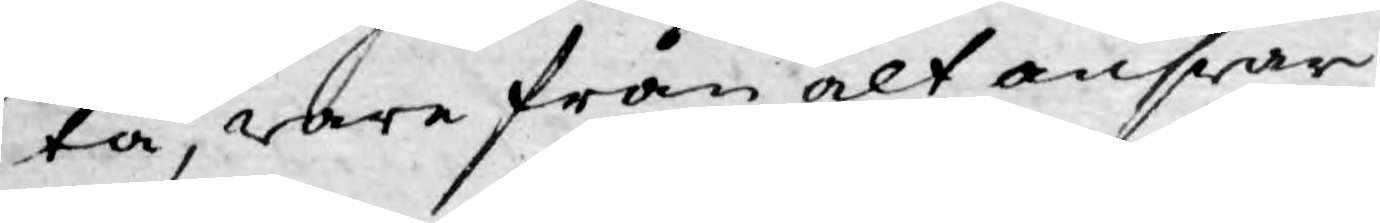ta, ware från alt answar
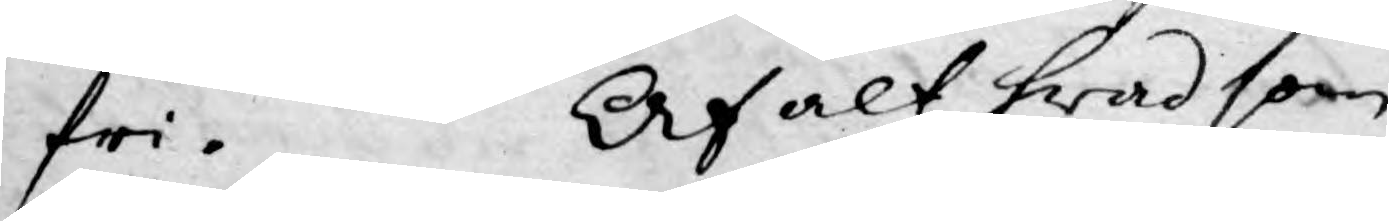fri. Af alt hwad som
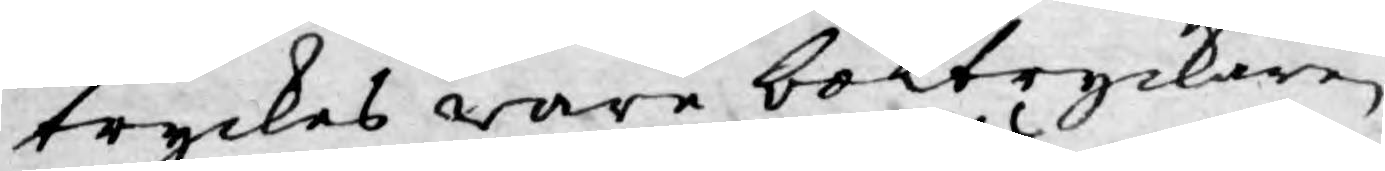tryckes ware bortryckaren
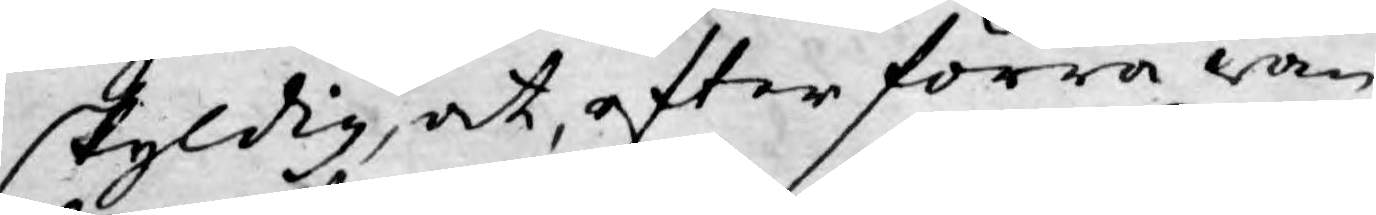skyldig, at, efter förra wan¬
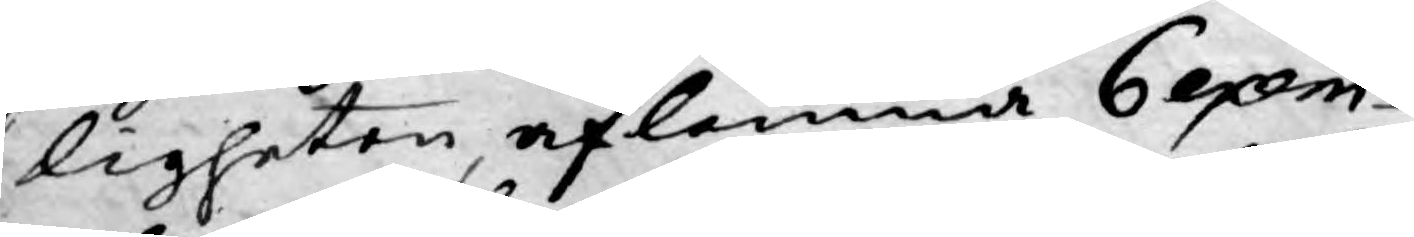ligheten, aflemna 6, exem¬
